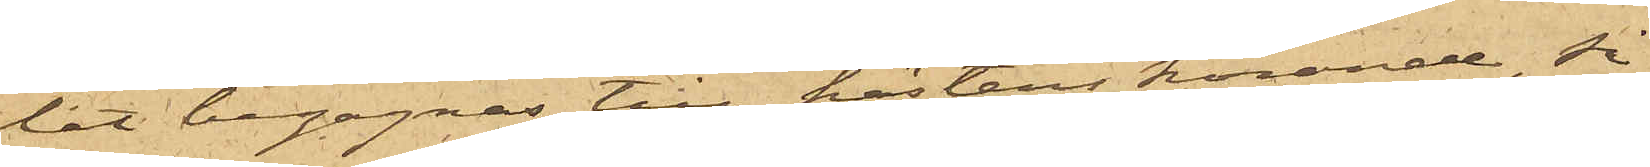lat begagnas till hästens körande, så
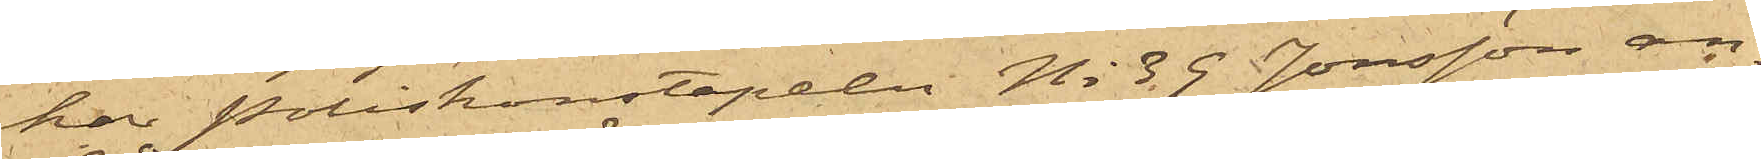har Poliskonstapeln No 39 Jonsson an¬
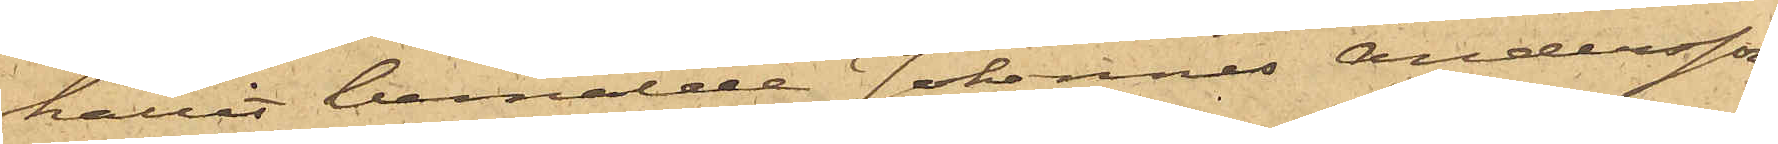hållit bemälde Johannes Andersson,
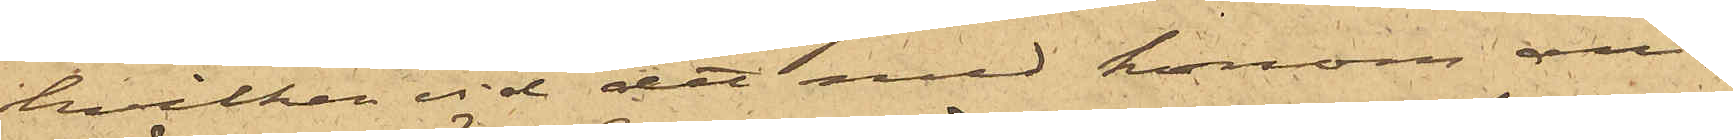hvilken vid det med honom an¬
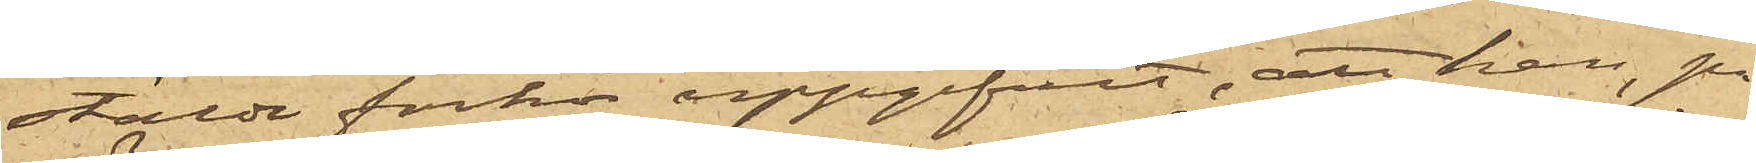stälde förhör uppgifvit, att han, på
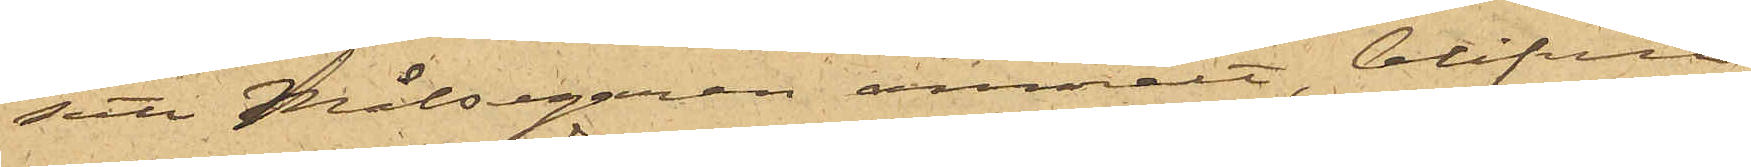sätt Målsegaren anmält, blifvit
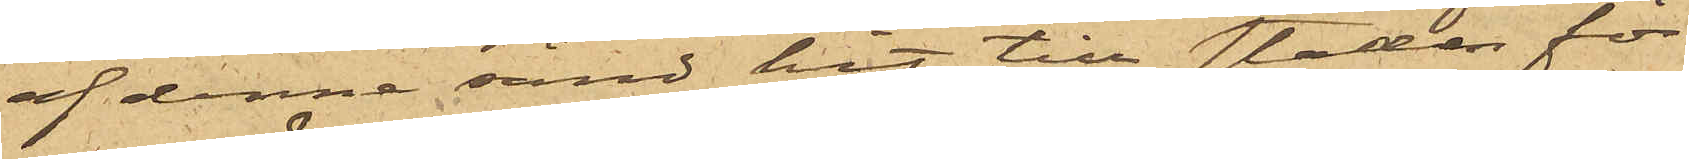af denne sänd hit till staden för
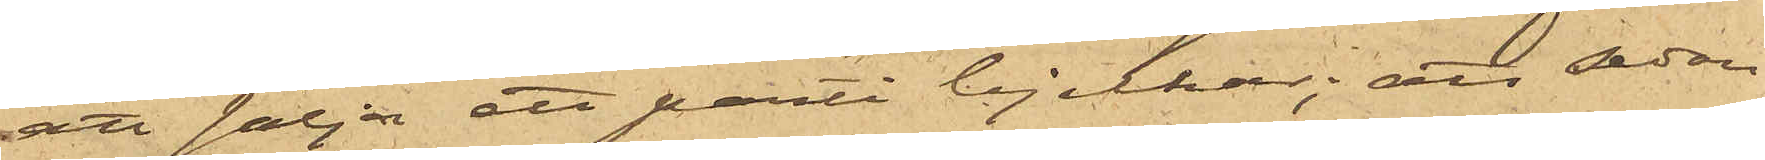att sälja ett parti bjelkar; att sedan
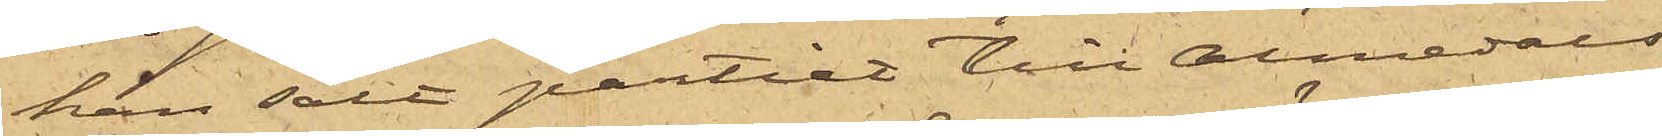han sålt partiet till Almedals
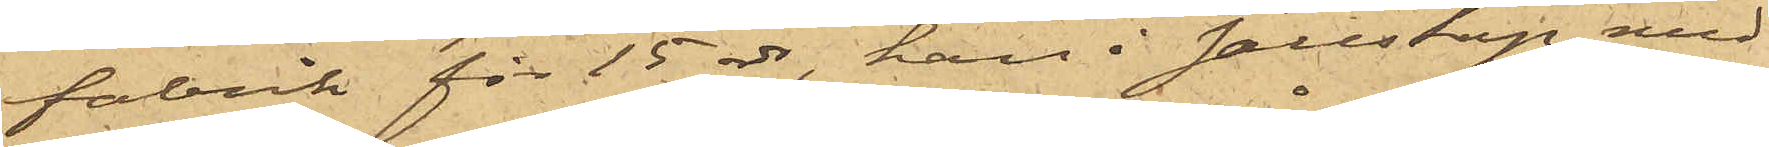fabrik för 15 rdr, han i sällskap med
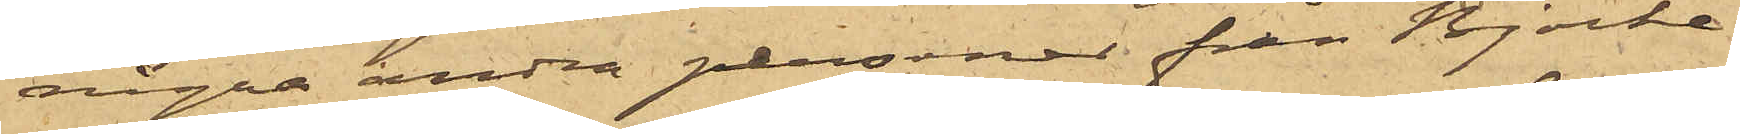några andra personer från Björke¬
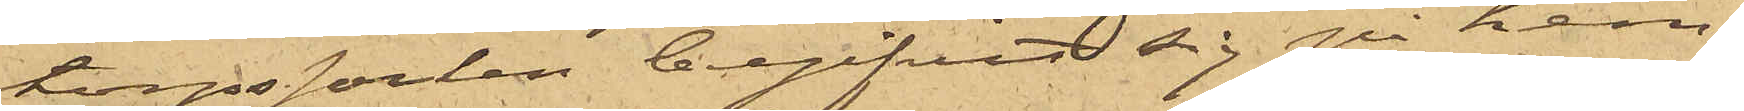torps socken begifvit sig på hem¬
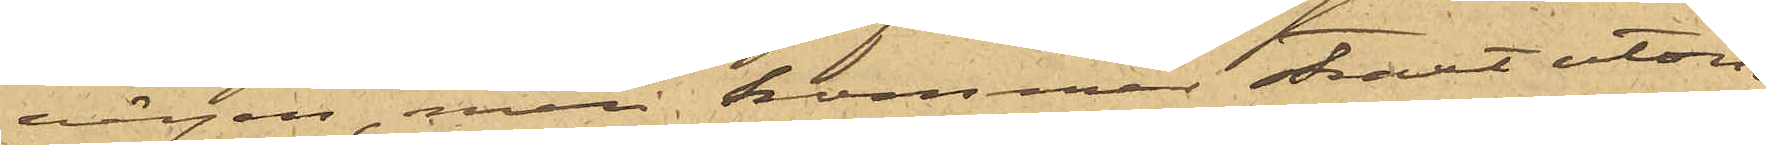vägen men kommen straxt utom
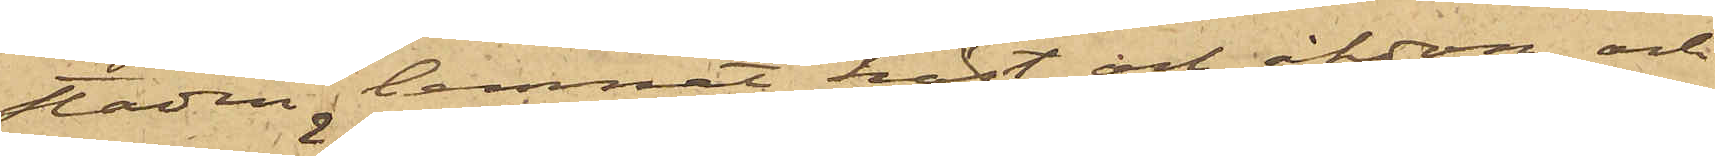staden, lemnat häst och åkdon och
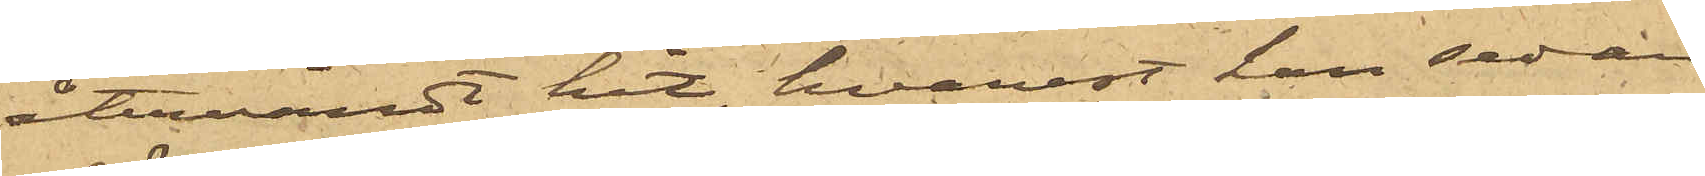återvändt hit, hvarest han sedan
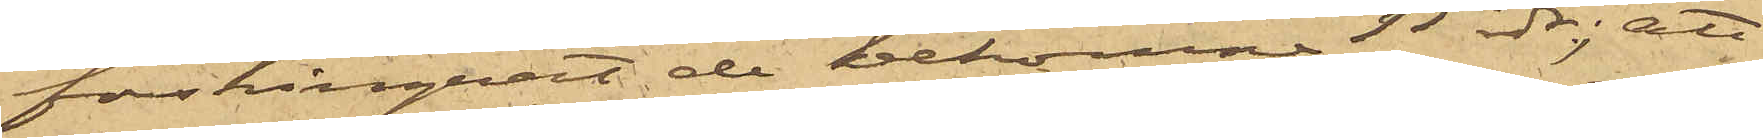förskingrat de bekomne 15 rdr; att
